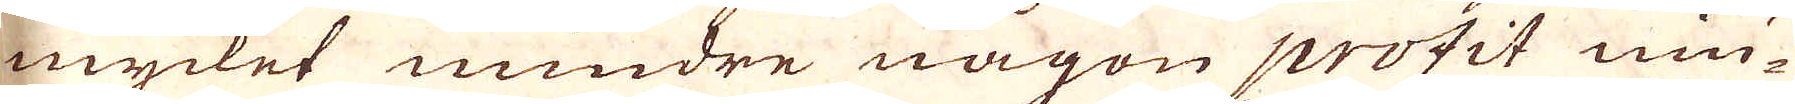mycket mindre någon profit niu-
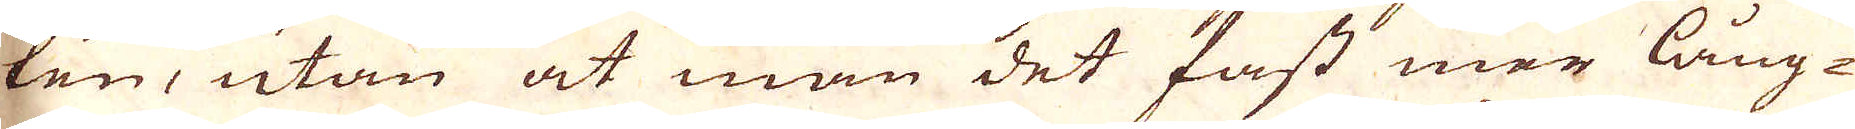ten, utan at man det fast mer lång-
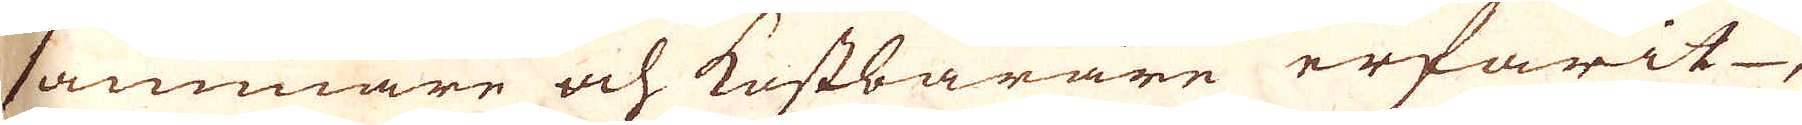sammare och kostbarare erfarit,
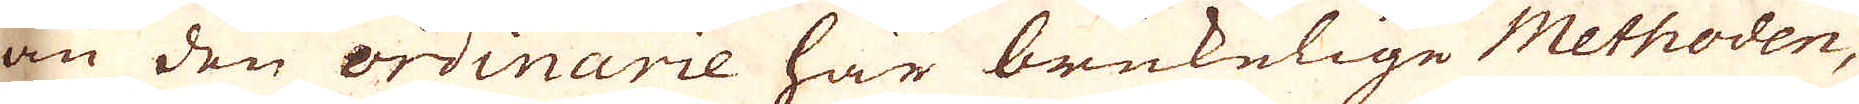än den ordinarie här brukelige Methoden,
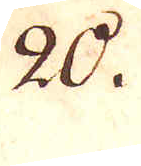20.
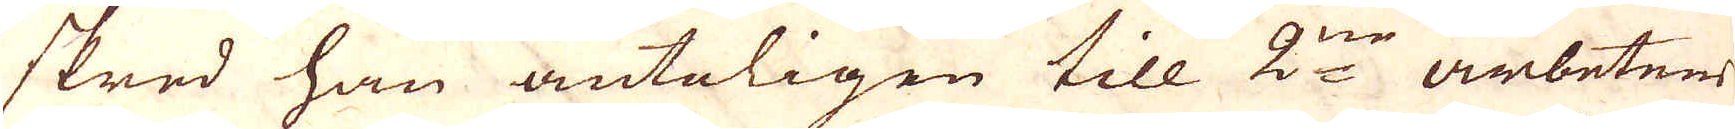skred han änteligen till 2:ne arbetens
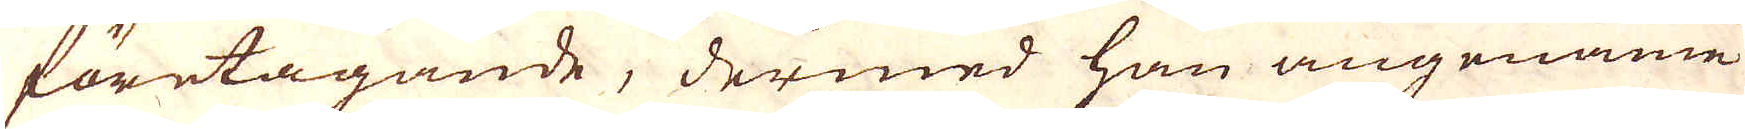företagande, dermed han angenäme
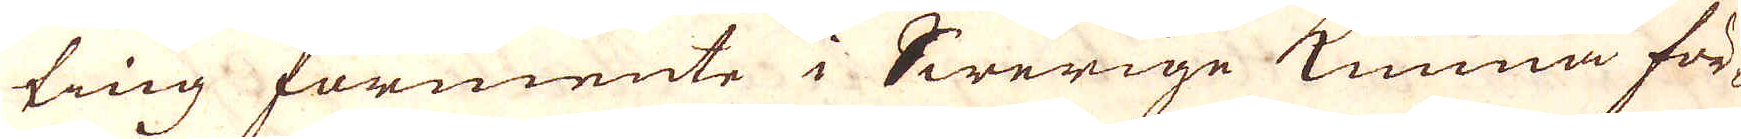ting förmente i Swerige kunna för-
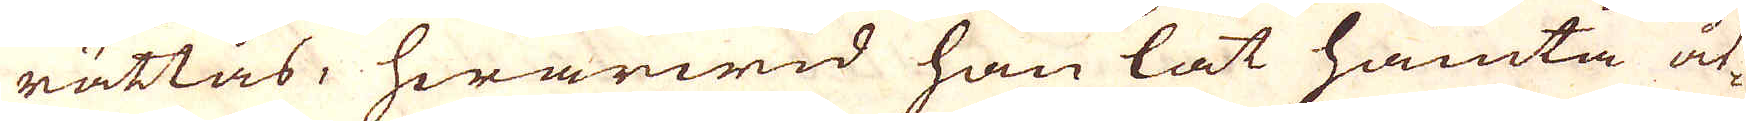rättas, hwarwid han lät hämta åt-
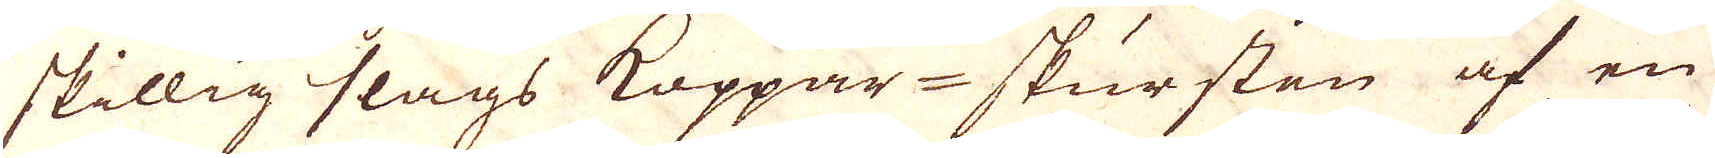skillig slags Koppar-skursten af en
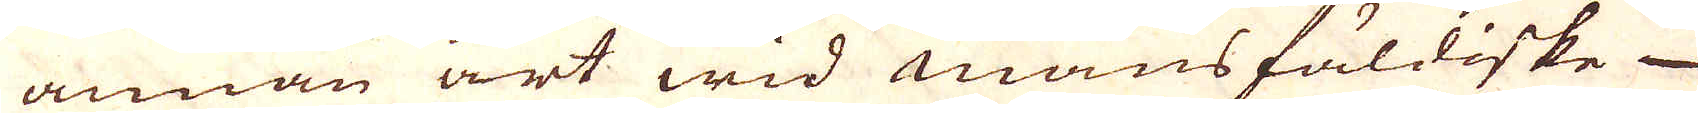annan art wid mansfäldiske
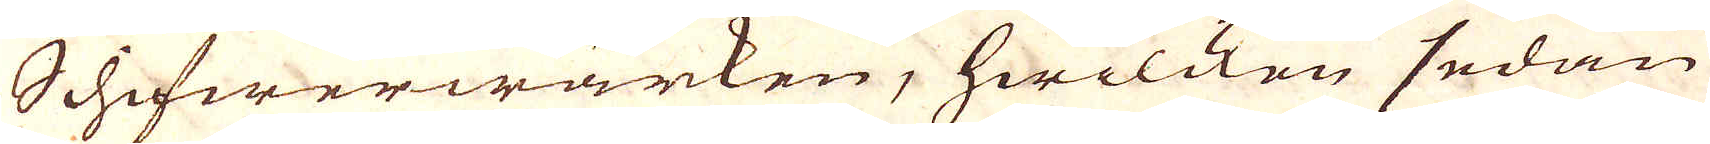Schifwerwärken, hwilcken sedan
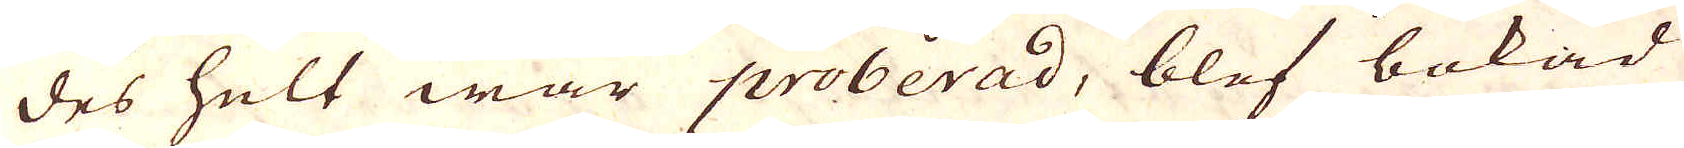des helt war proberad, blef bokad
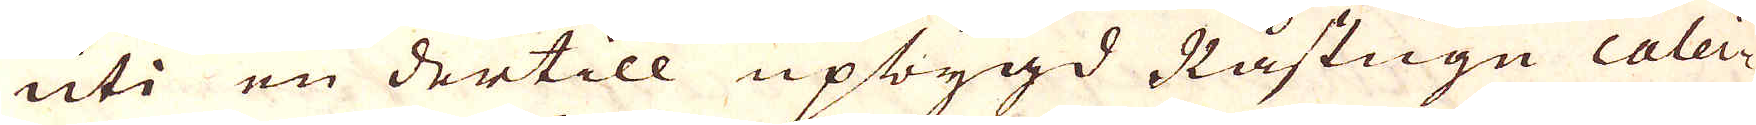uti en dertill upbygd Råstugn calci-
